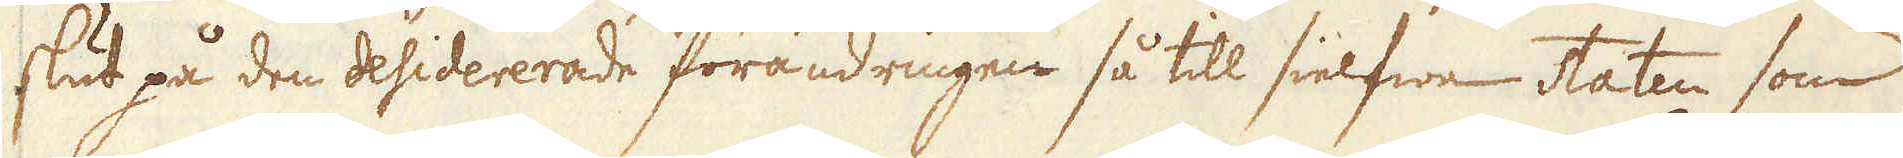slut på den desiderade förändringen så till silfwe staten som
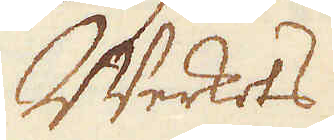Werkets
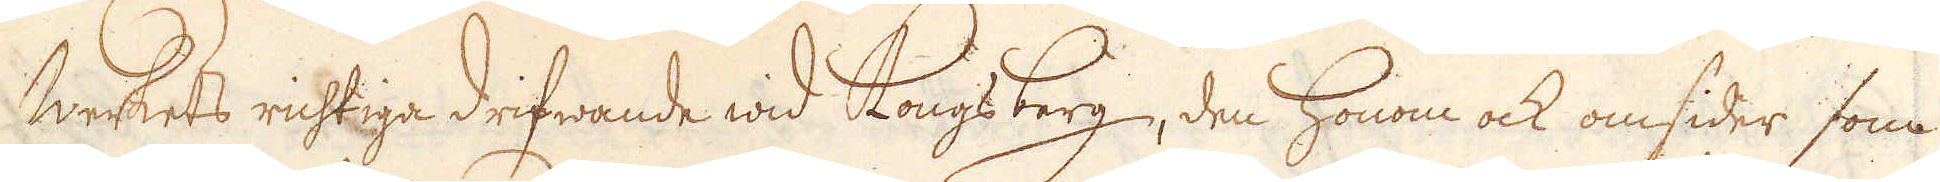Werkets richtiga drifwande wid Kongsberg, den honom ock omsider som
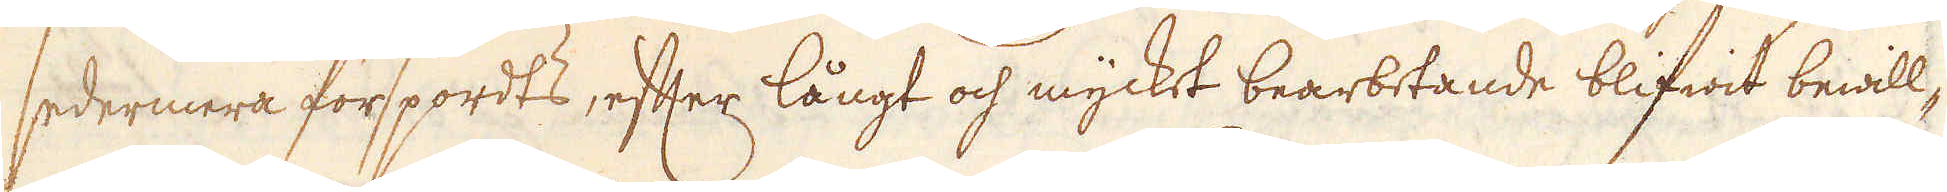sedermera förspordts, efter långt ock myckt bearbetande blifwit bewill-
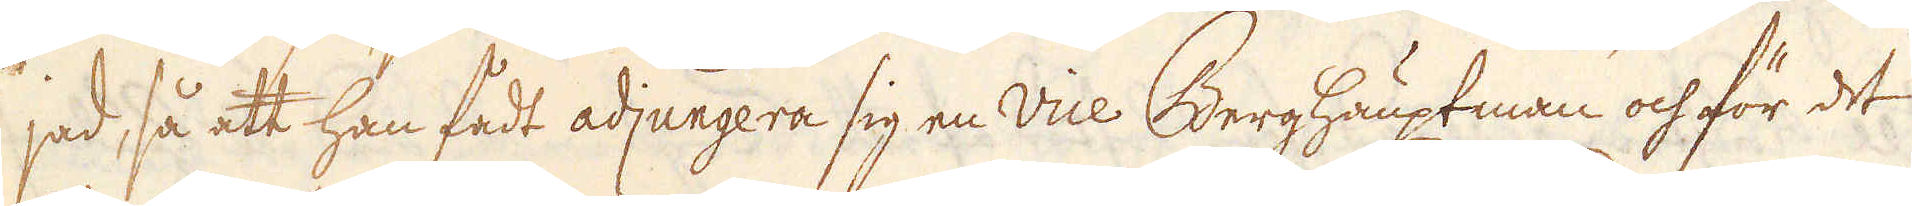jad så ett han fådt adjungera sig en Vice. Berghauptman och för det
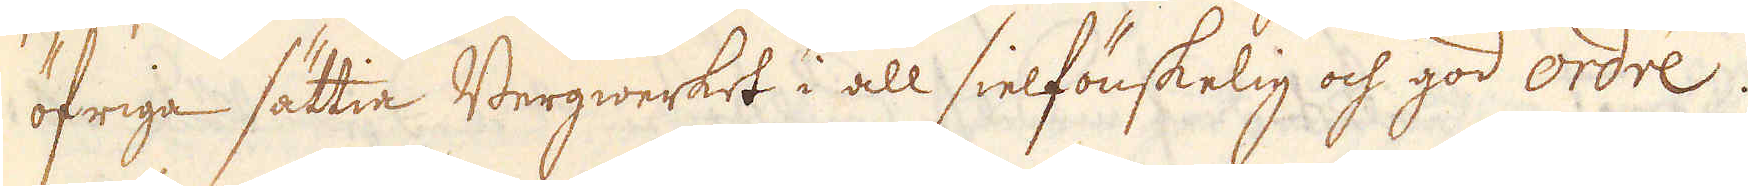öfriga sättia Bergwerket i all sielfönskelig och god ordre.
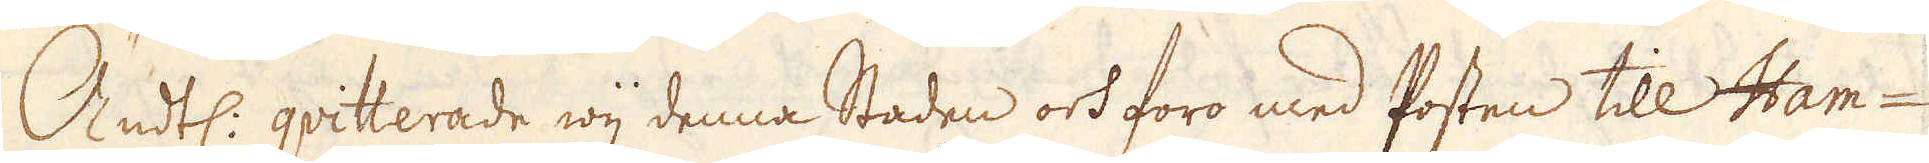Ändtl: qvitterade wij denna Staden och foro med Posten till Ham-
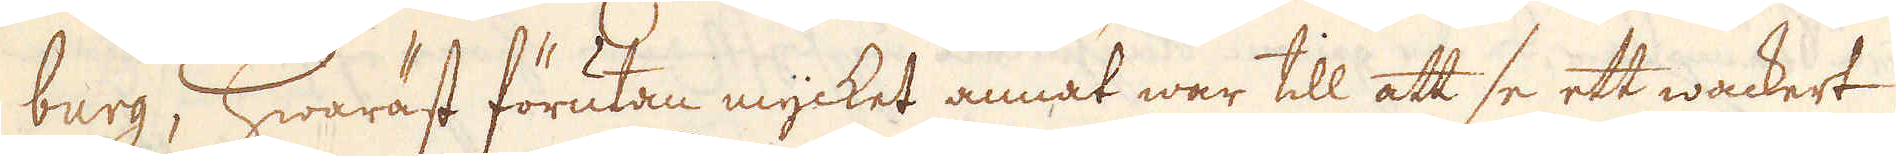burg; hwaräst förutan mycket annat war till att se ett wackert
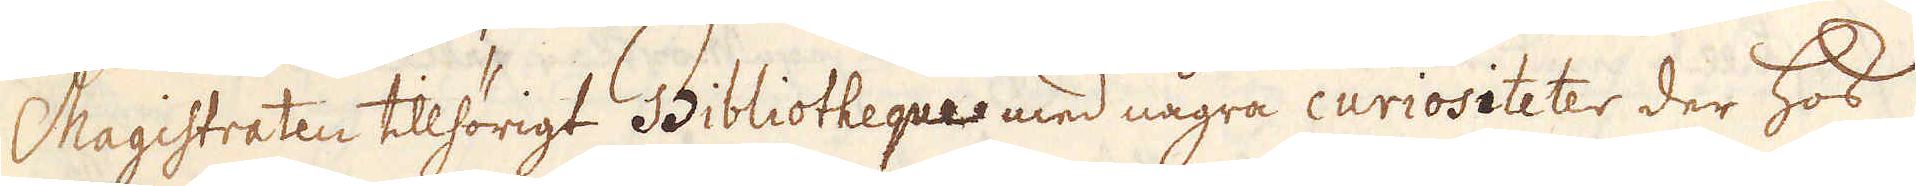Magistraten tillhörigt Bibliotheque med några curiositeter der hos
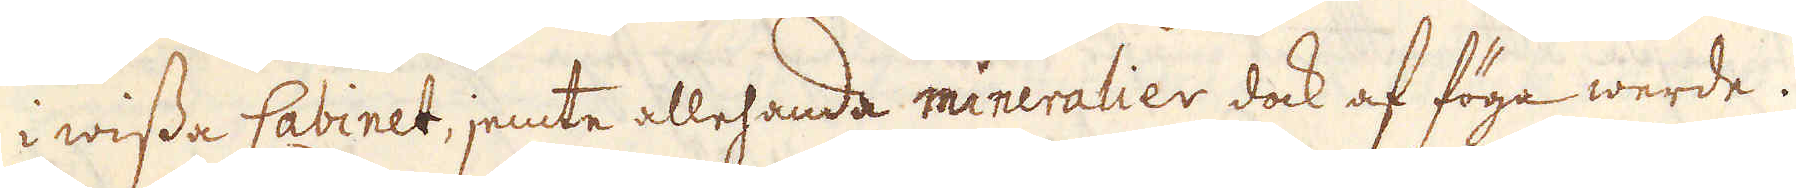i wisse Cabinet, jemte allehanda mineralier dock af föga werde.
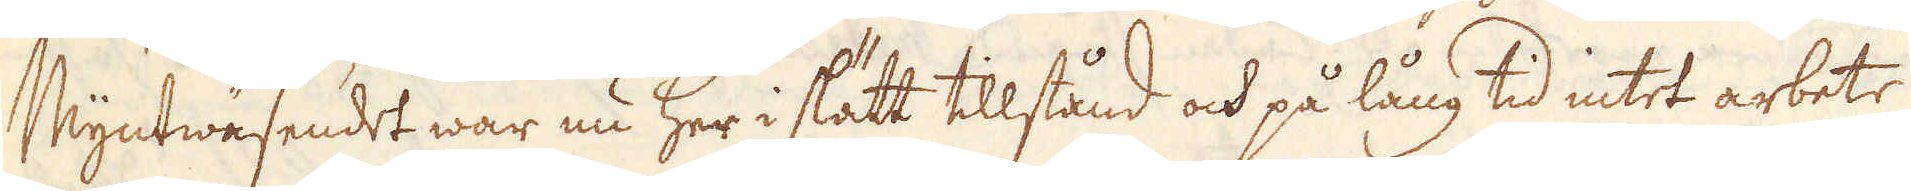Myntwäsendet war nu her i stätt tillstånd och på lång tid intet arbete
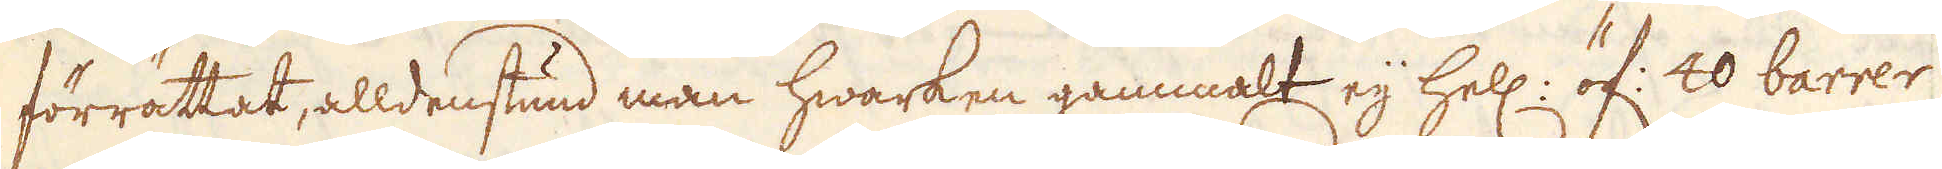förrättat, alldenstund man hwarken gammalt eij hell. öf: 20 barrer
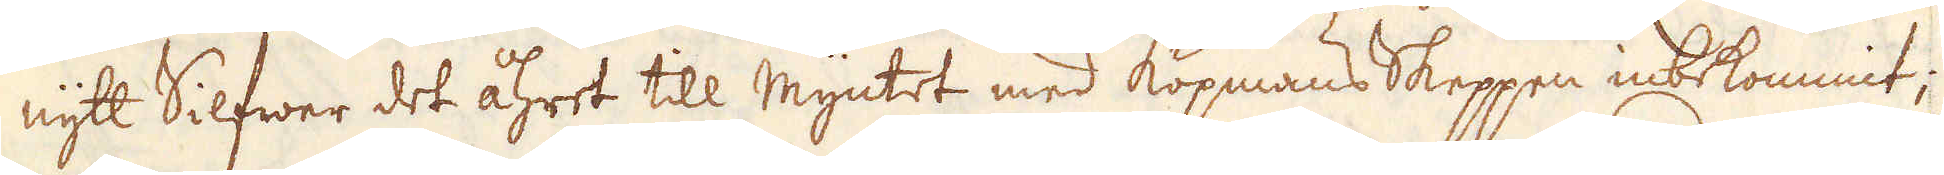nytt Silfwer det åhret till Myntet med Köpmans Skeppen inbekommit;
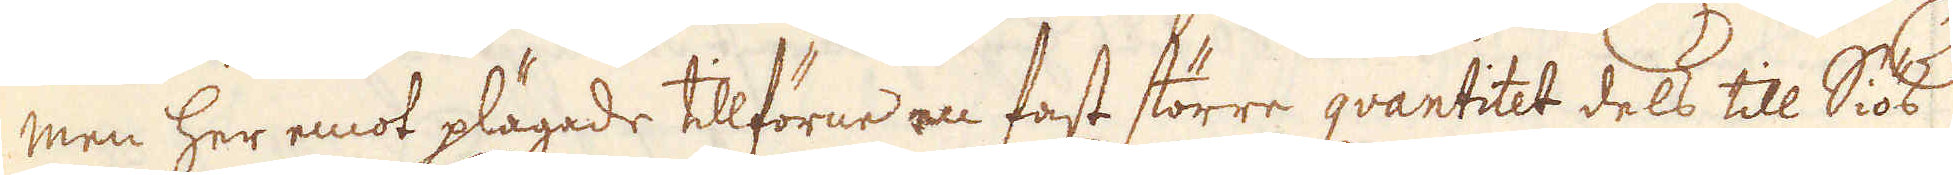men her emot plägade tillförne en fast större qvantitet dels till Siös
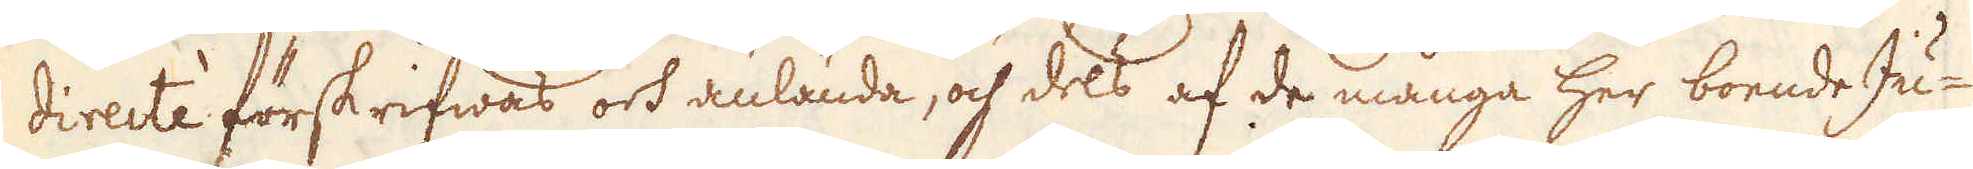directèe förskrifwas ork nläanae, ohf eols af de många her boende Ju-
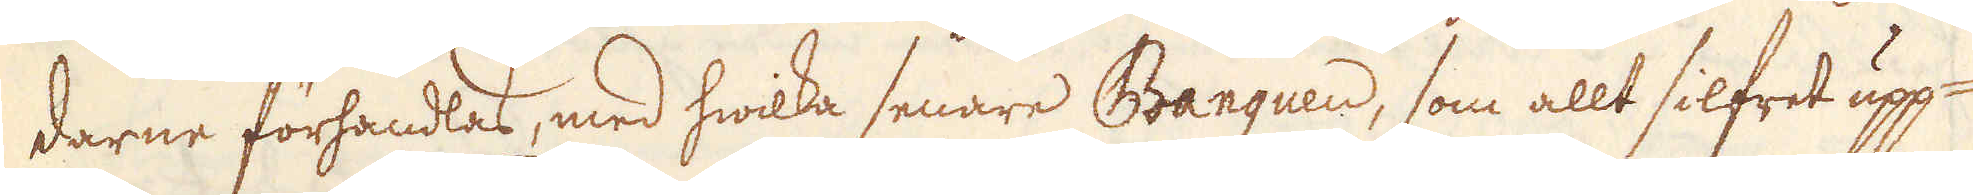darne förhandlas, med hwilka senare Banquen, som allt silfret upp-
